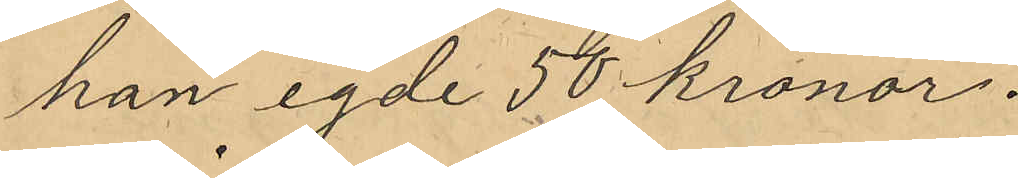han egde 50 kronor.
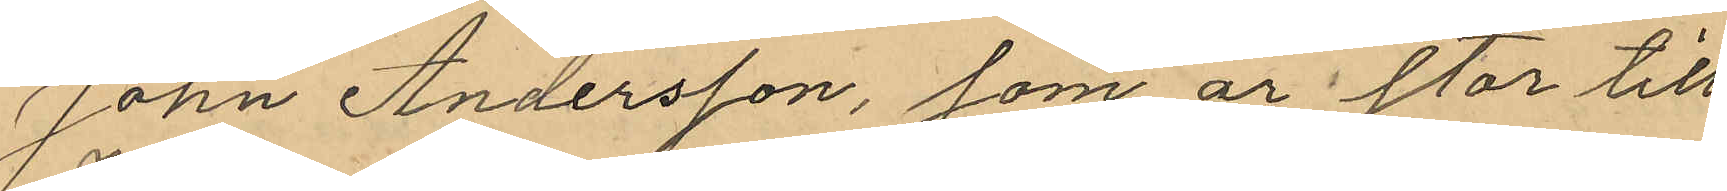John Andersson, som är stor till
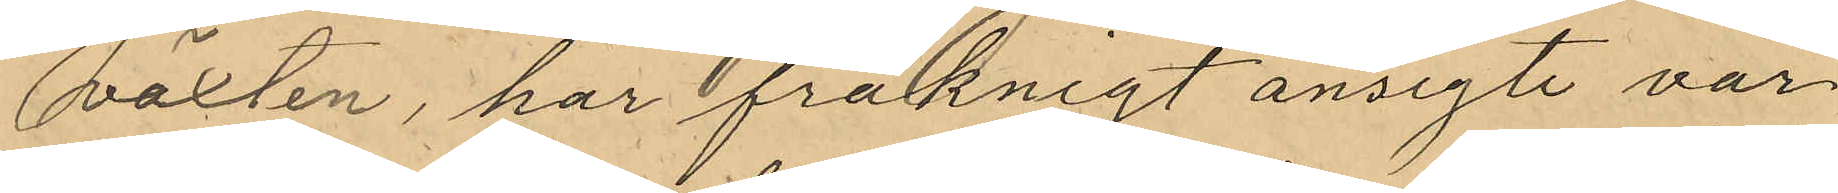växten, har fräknigt ansigte var
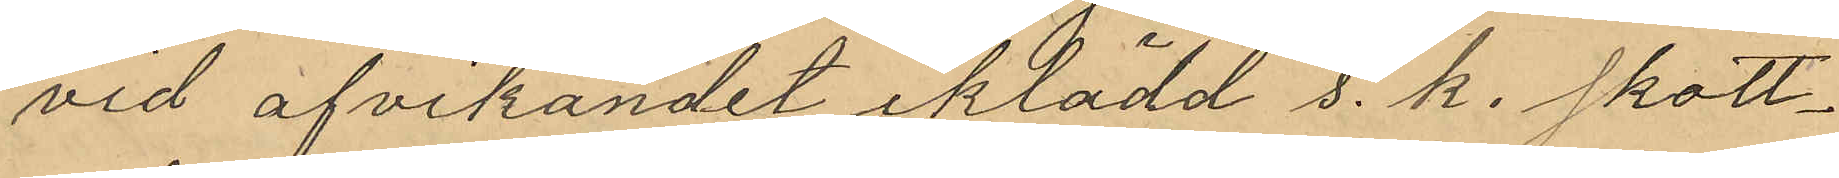vid afvikandet iklädd s. k. skott¬
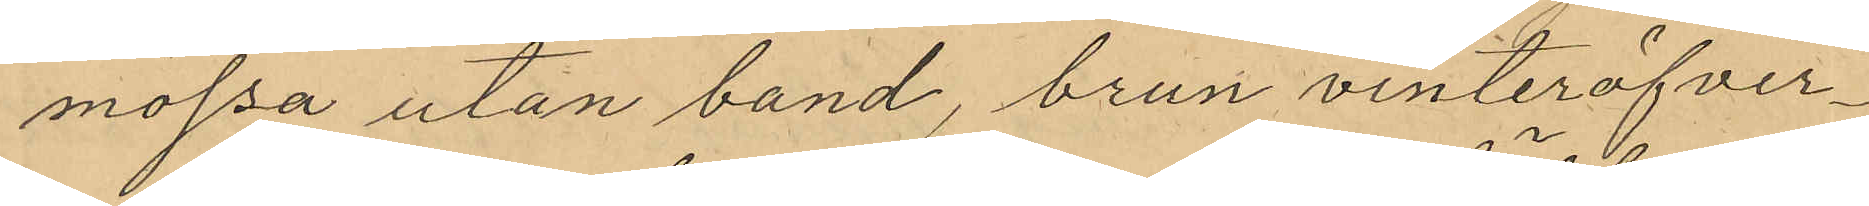mössa utan band, brun vinteröfver¬
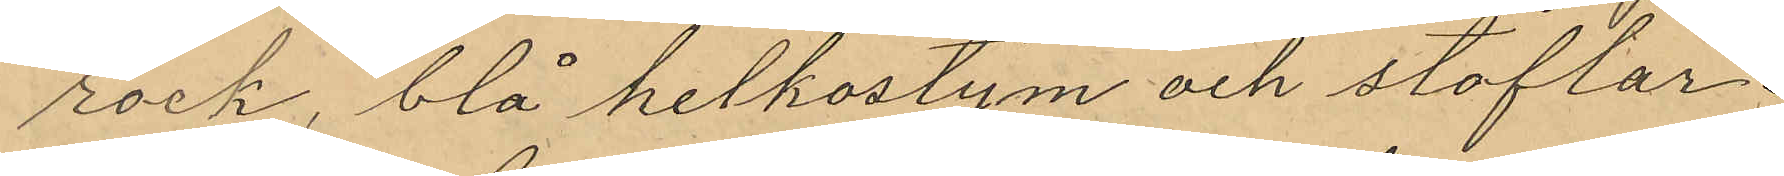rock, blå helkostym och stöflar.
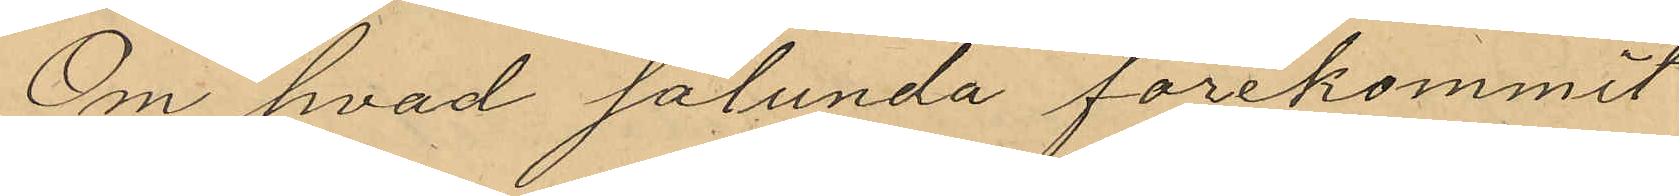Om hvad sålunda förekommit
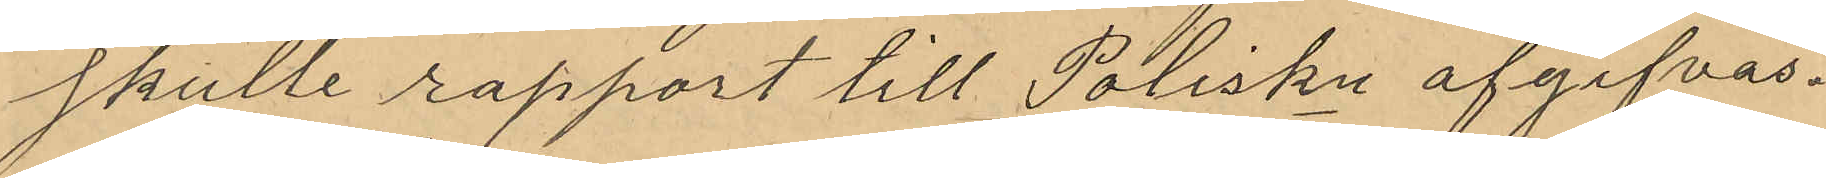skulle rapport till Poliskn afgifvas.
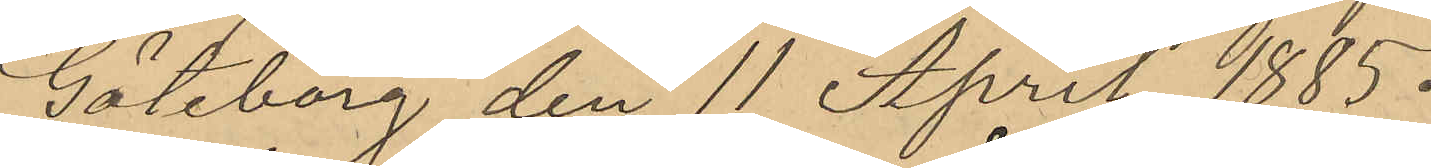Göteborg den 11 April 1885.
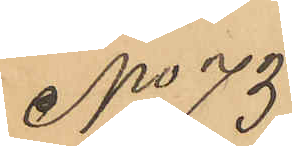No 73
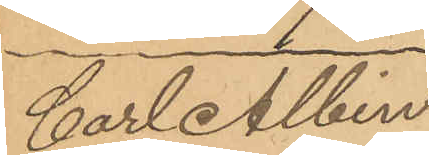Carl Albin
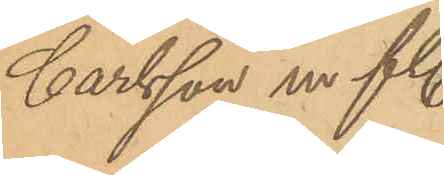Carlsson m. fl.
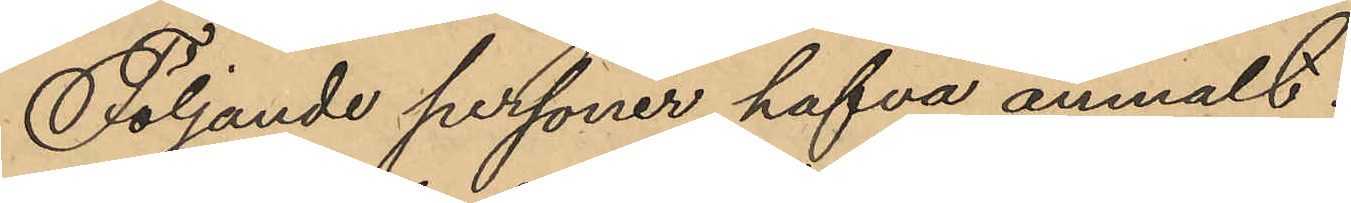Följande personer hafva anmält:
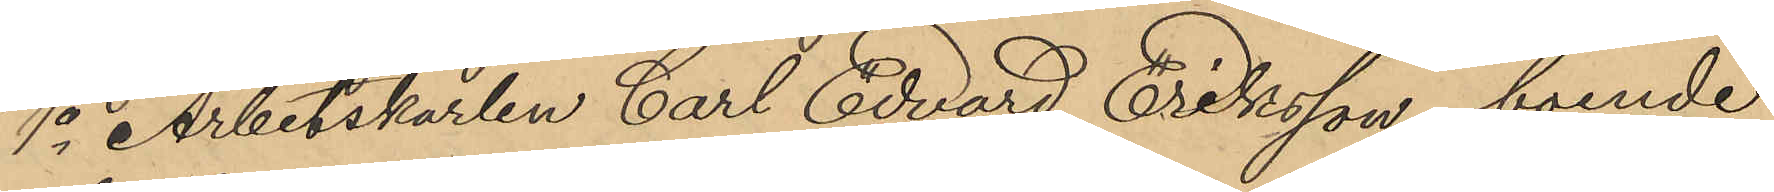1o Arbetskarlen Carl Edvard Eriksson, boende
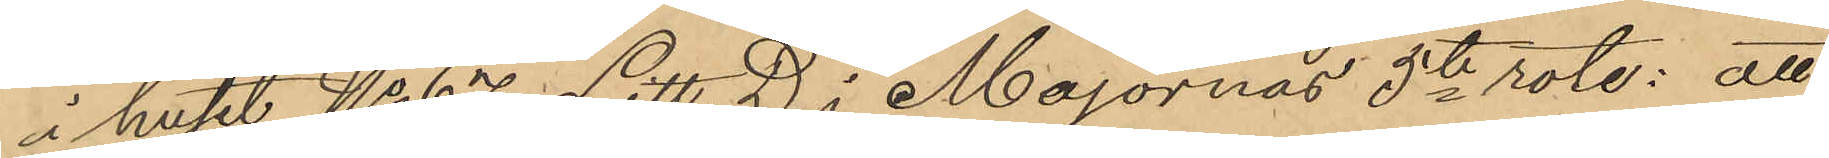i huset No 67 Litt. D i Majornas 5te rote; att
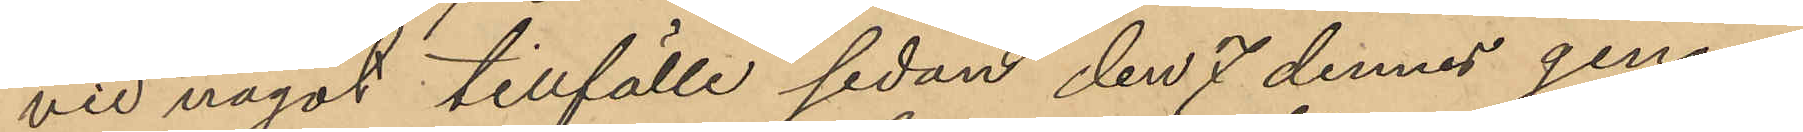vid något tillfälle sedan den 7 dennes genom
